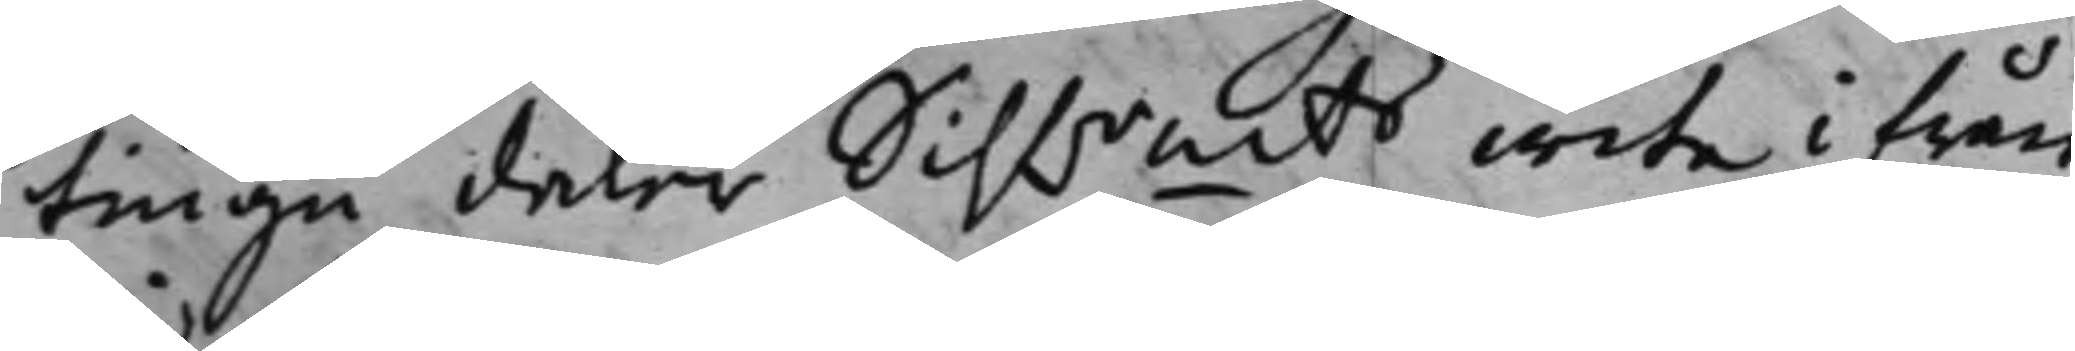tiugu daler Silfrmts wite ifrån
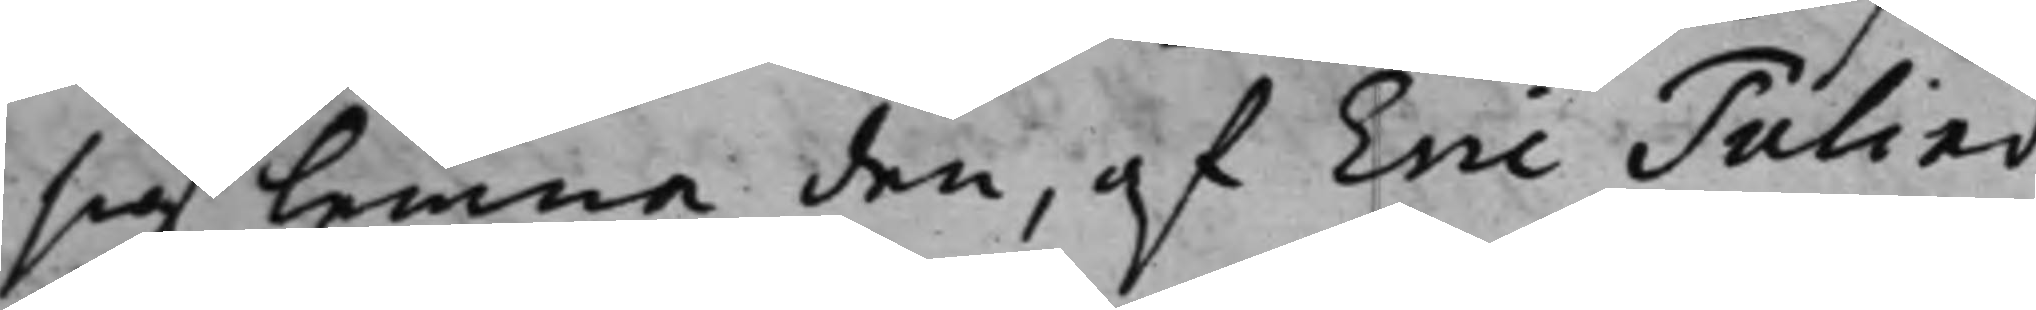sig lemna den, af Eric Tulind¬
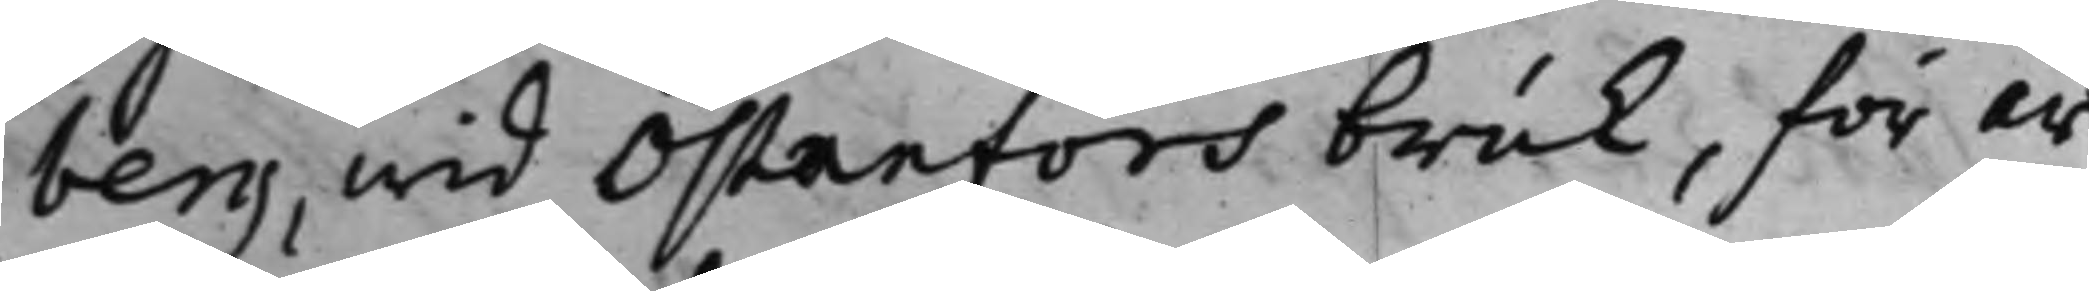berg, wid Östanfors bruk, för år
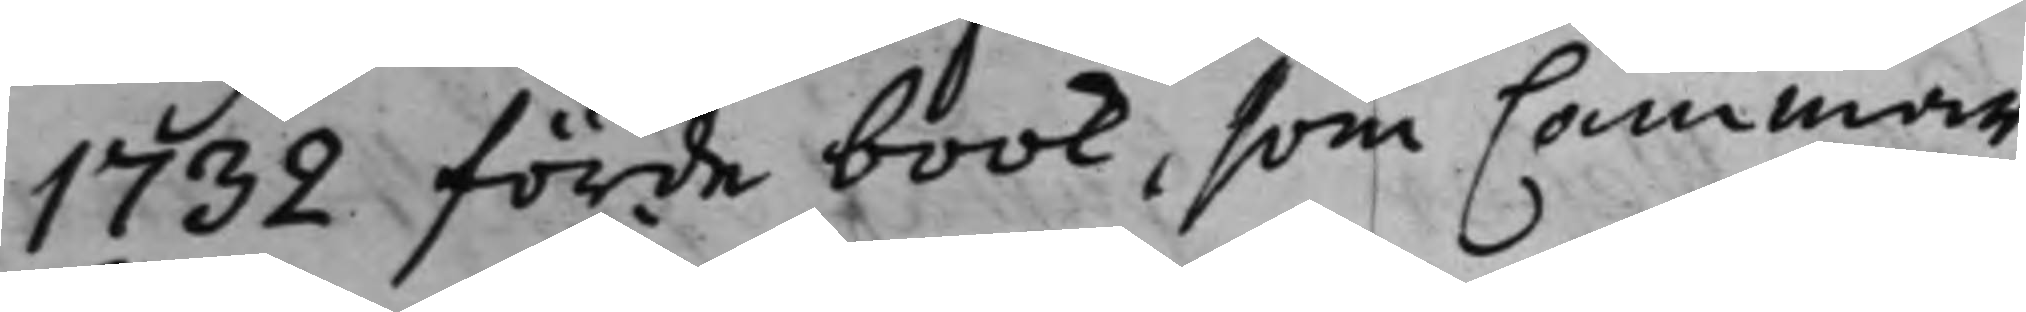1732 förde book, som Cammar¬
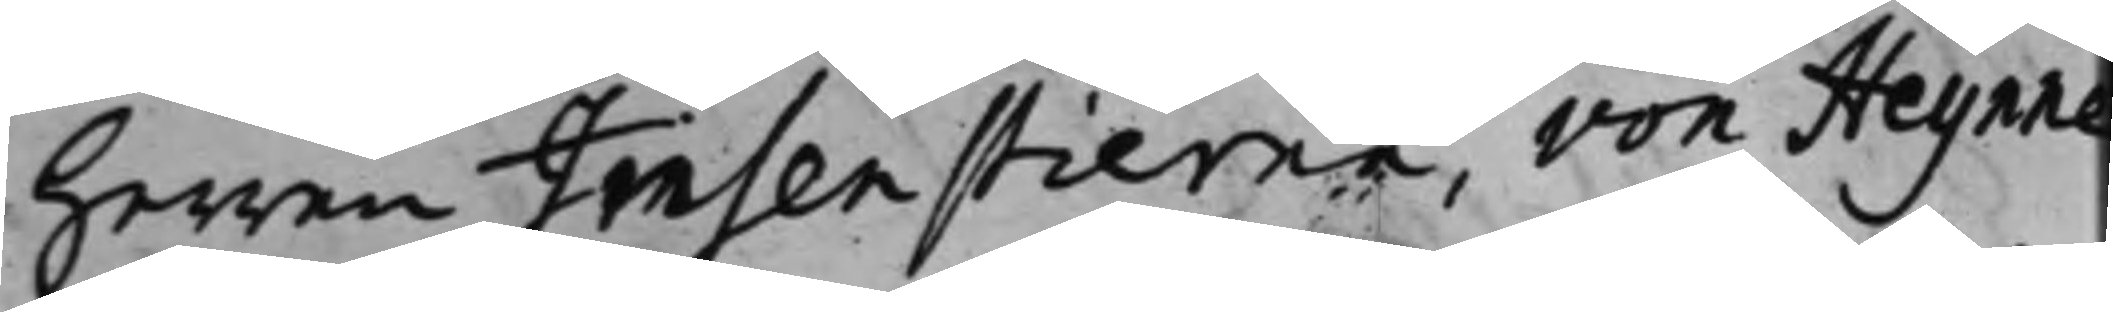herren Insenstierna, von Heijnne
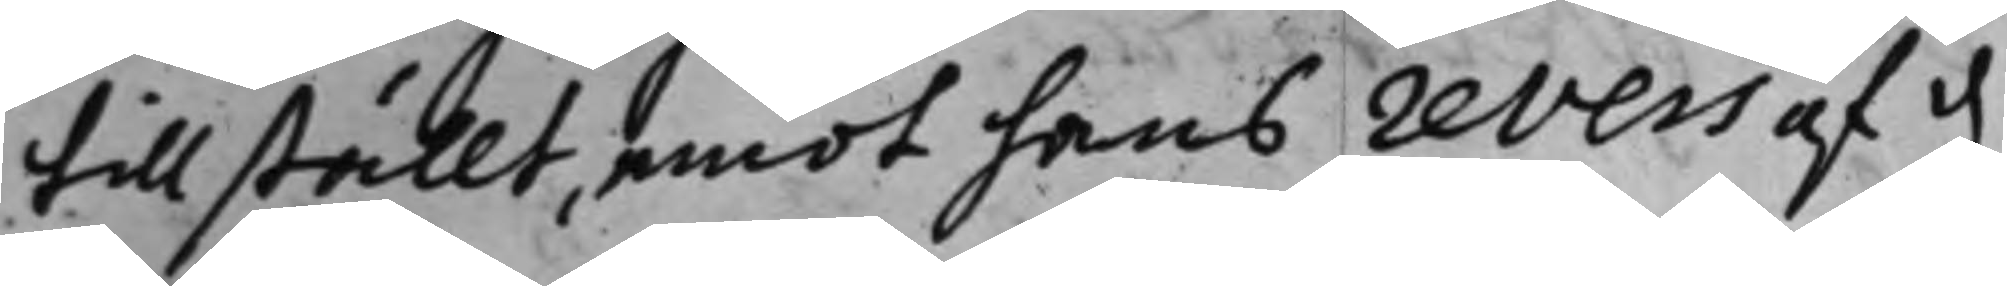tillställt, emot hans revers af d.
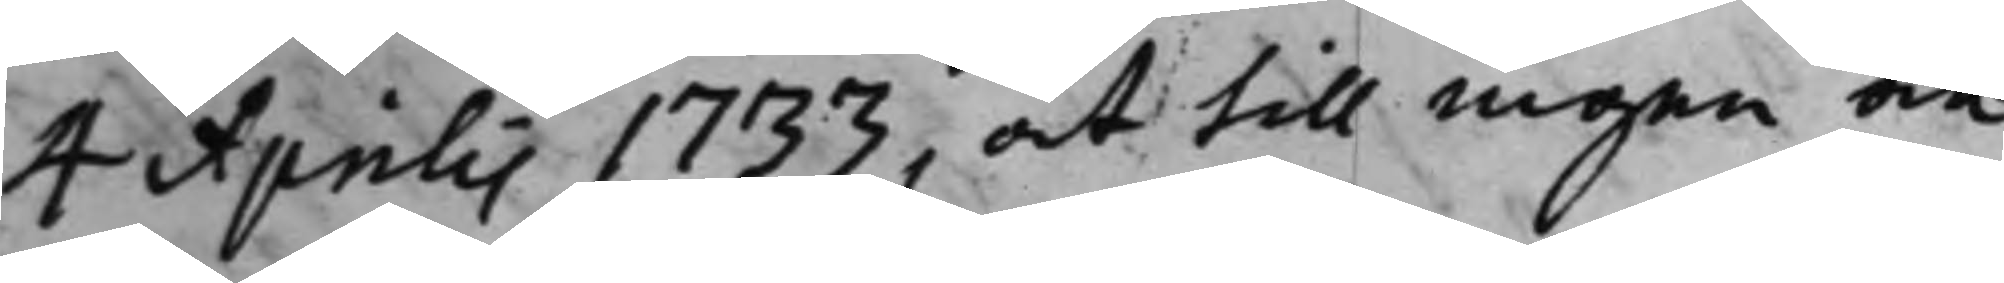4 Aprilis 1733, at till ingen an¬
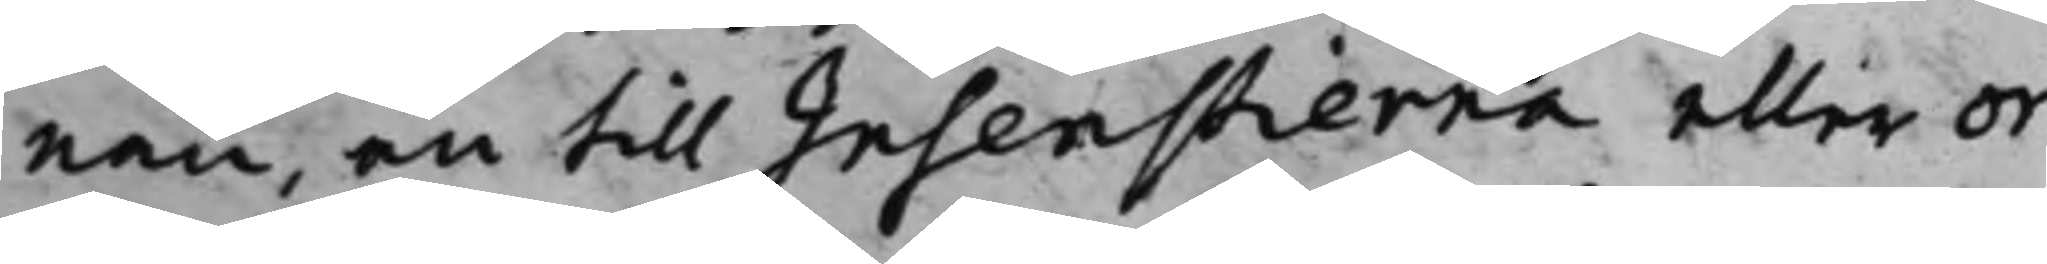nan, än till Insenstierna eller or¬
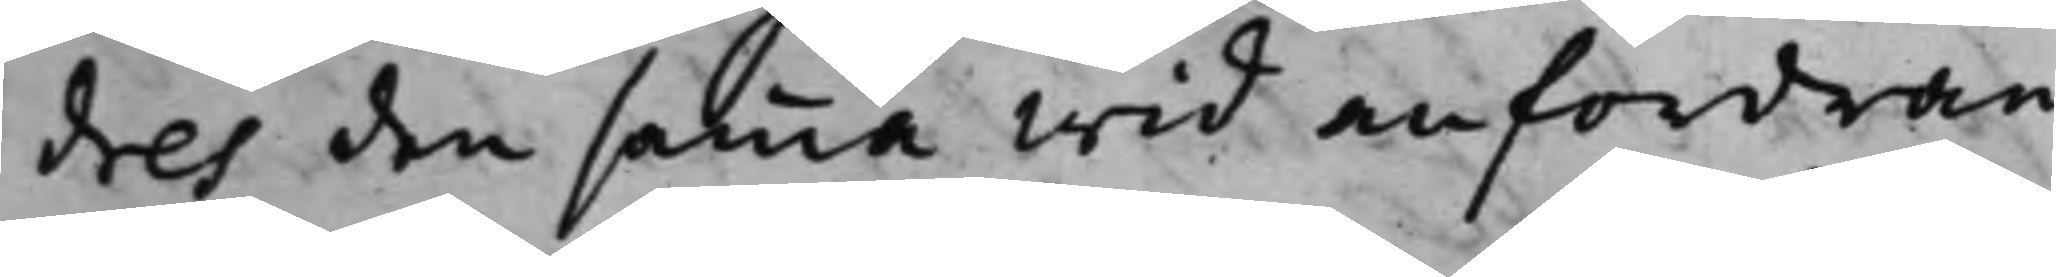dres den samma wid anfordran
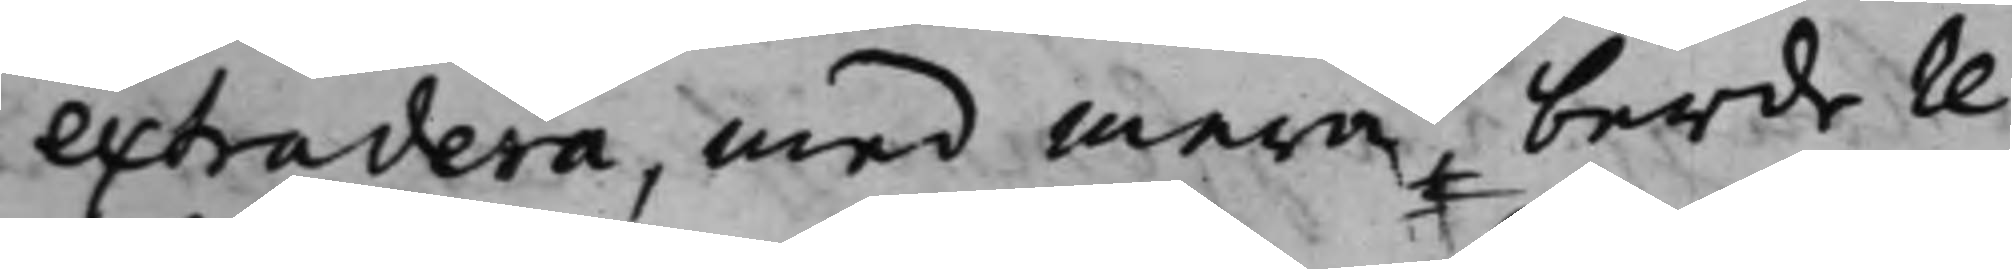extradera, med mera, berde re¬
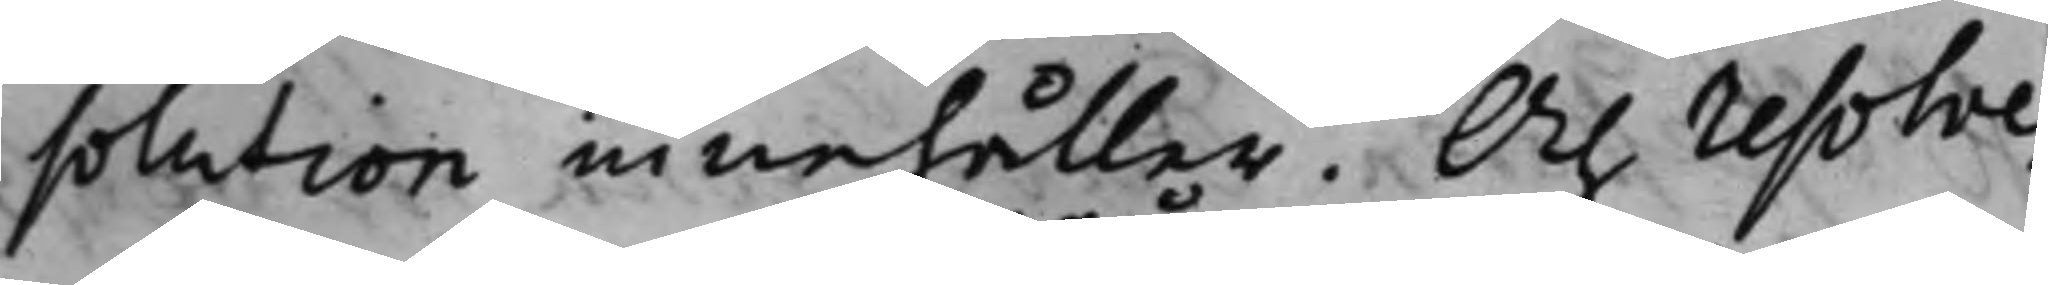solution innehåller. Och resolve¬
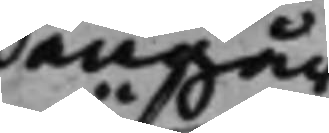angår
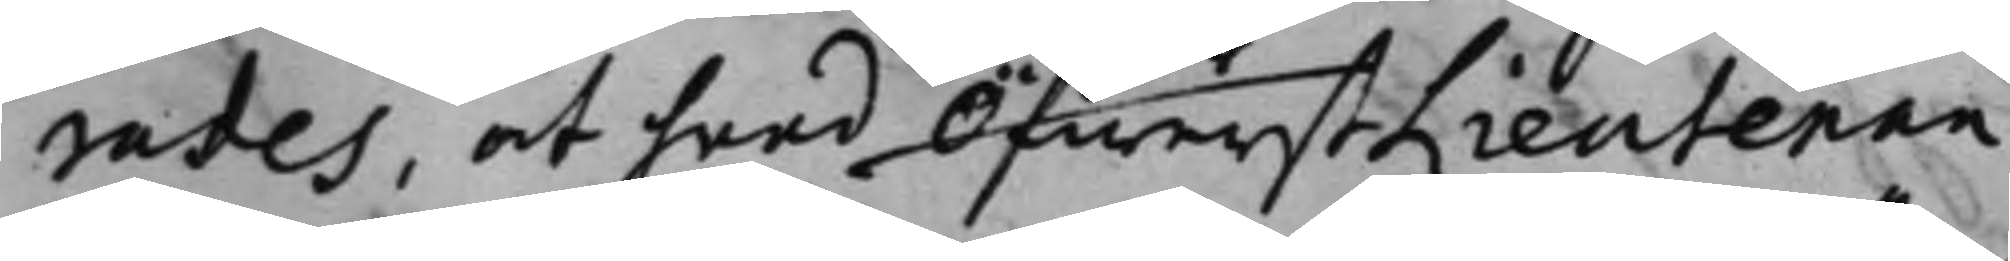rades, at hwad ÖfwerstLieutenan¬
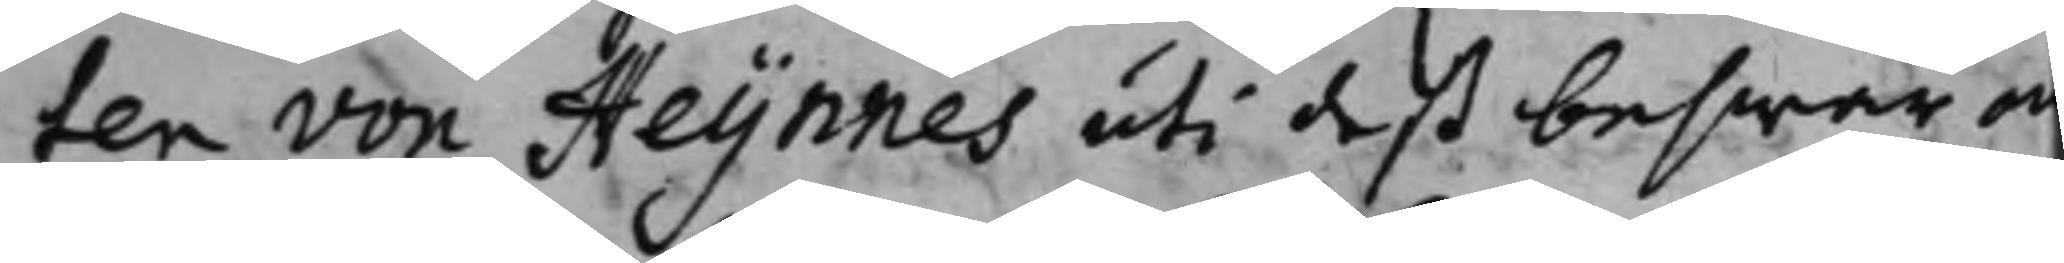ten von Heijnnes uti deß beswär an¬
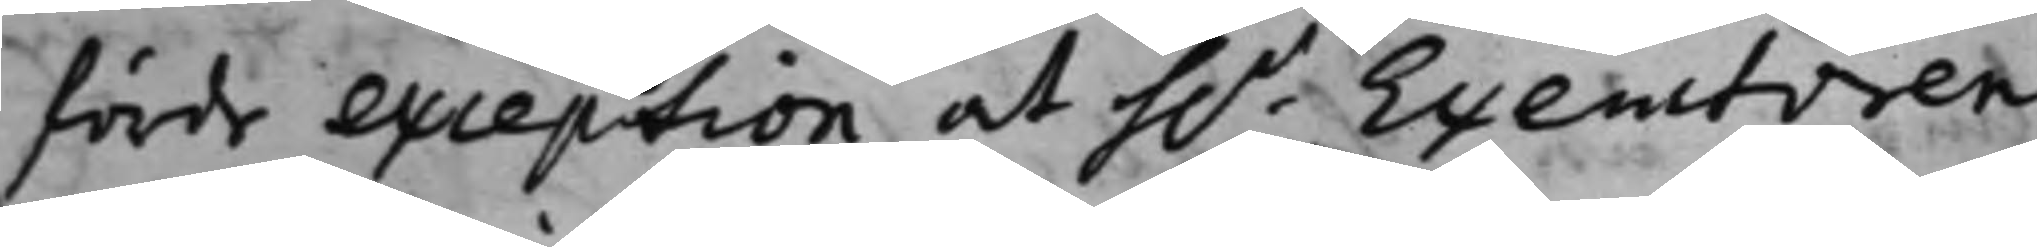förde exception at h.r Executoren
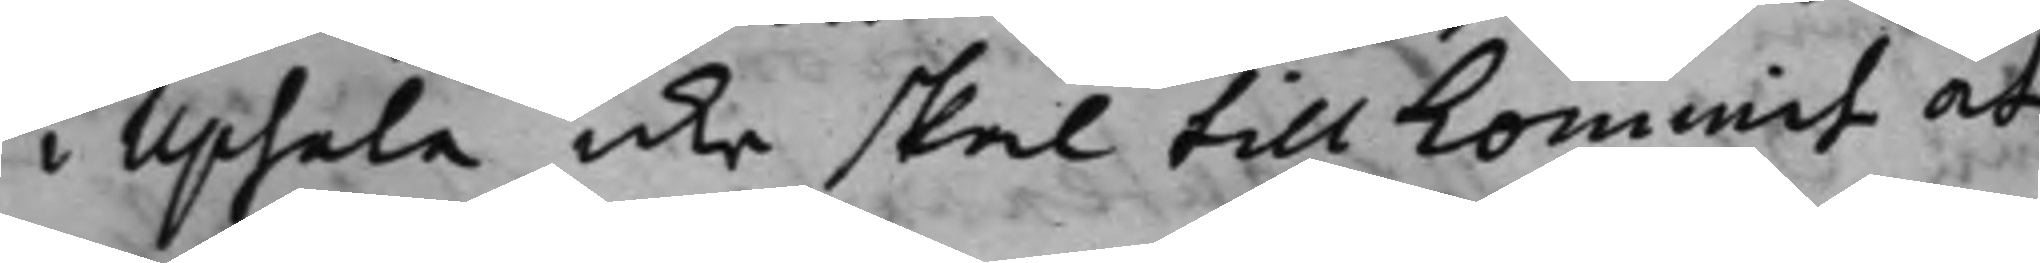i Upsala icke skal tillkommit at
